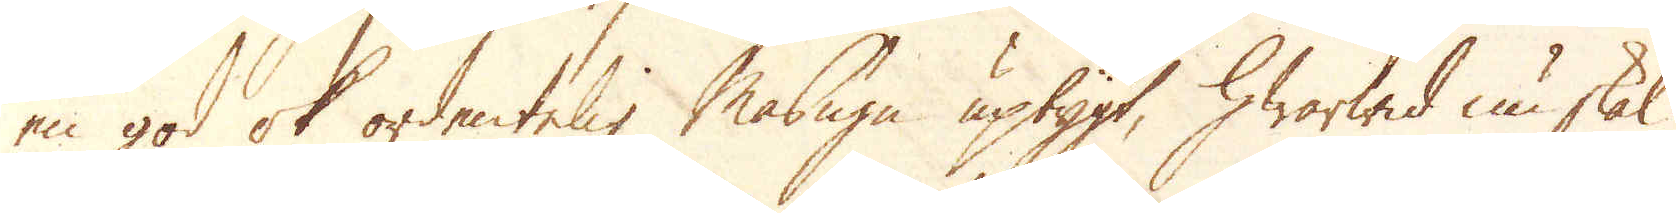en god ok ordentelig Masugn upbygt, hwarwid nu skal
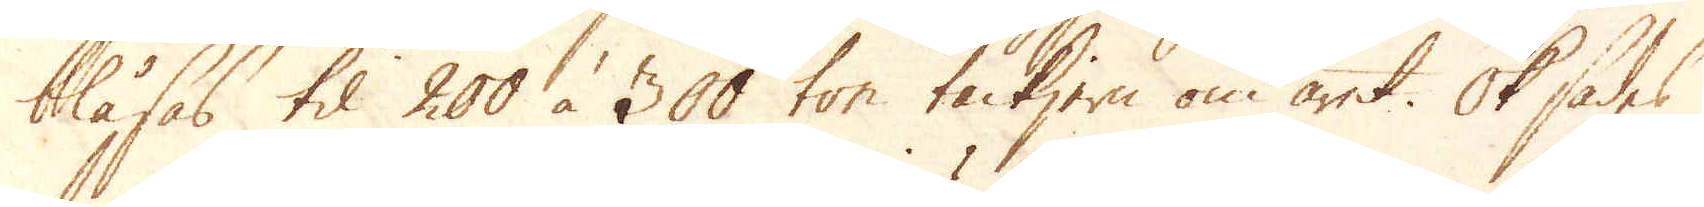blåsas til 200 à 300 ton tackjern om året. Ok sades
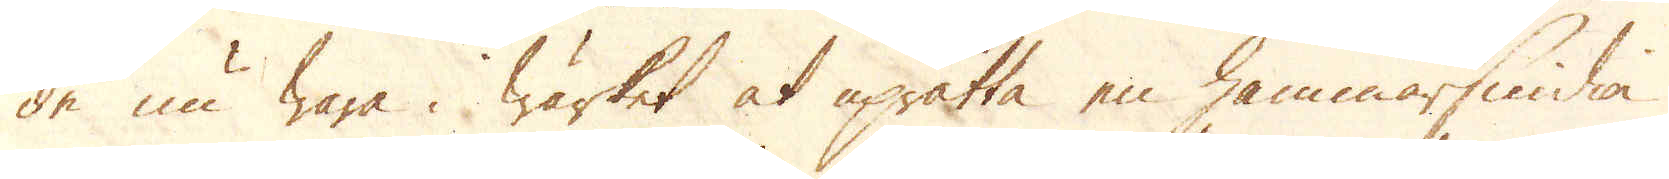de nu wara i wärket at uprätta en hammarsmidia
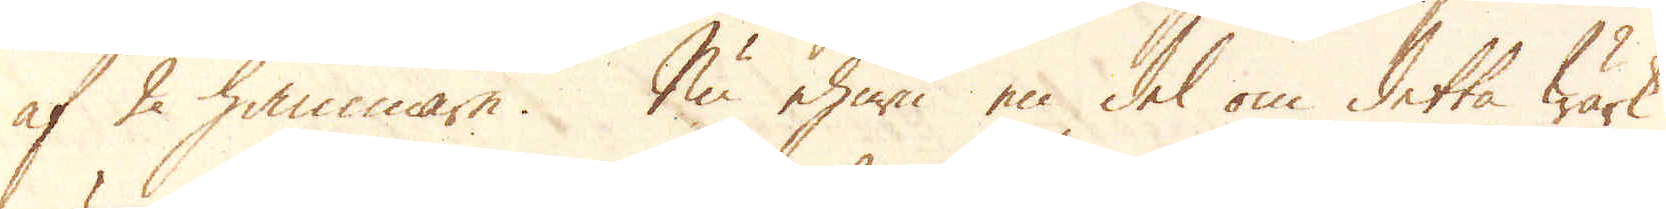af 2 hammare. Nu ehuru en del om detta Wärk
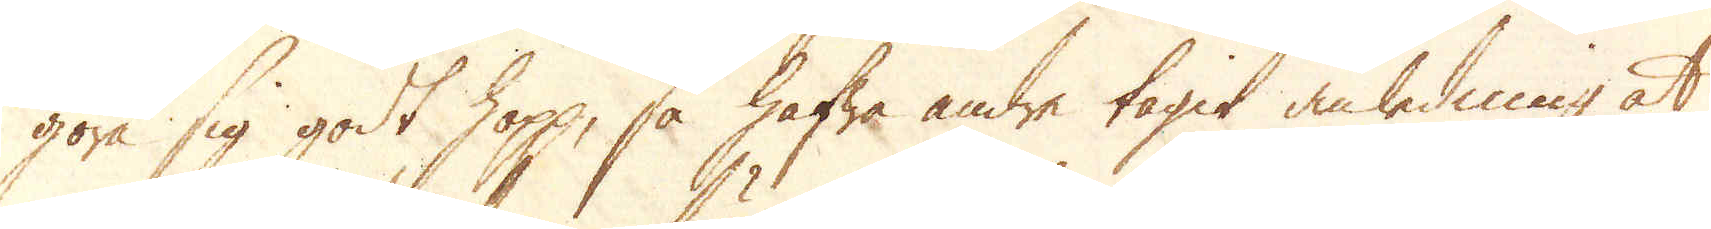göra sig godt hopp, så hafwa andre tagit anledning at
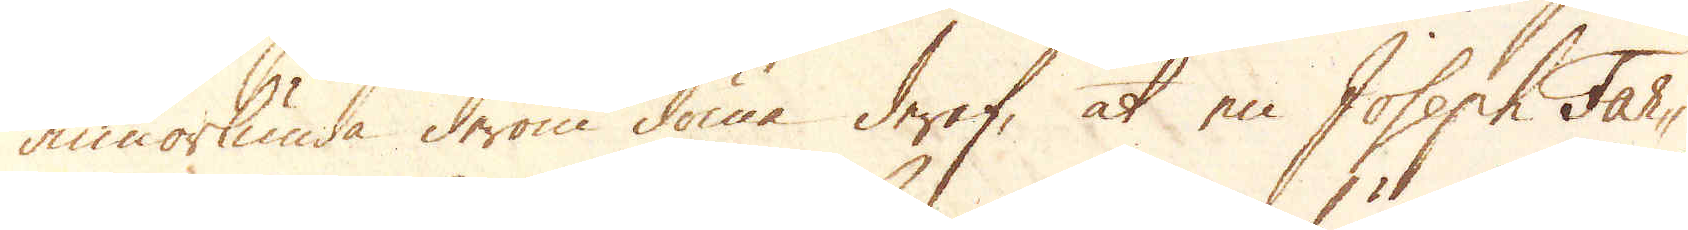annorlunda derom döma deraf, at en Joseph Far-
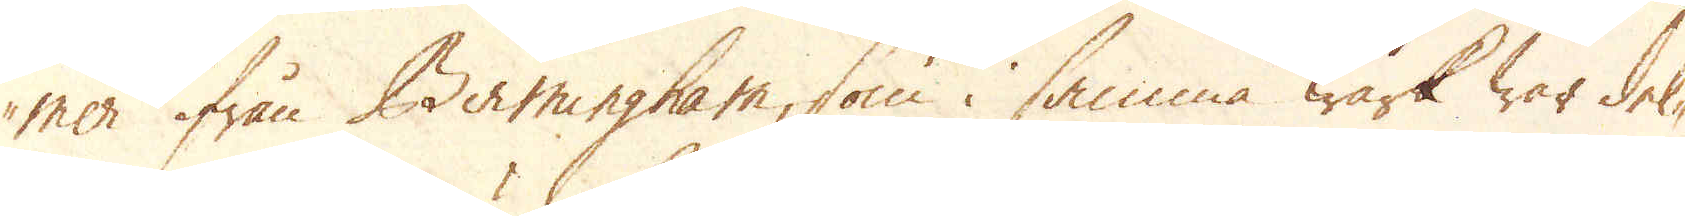mer ifrån Birmingham, som i samma wärk war del-
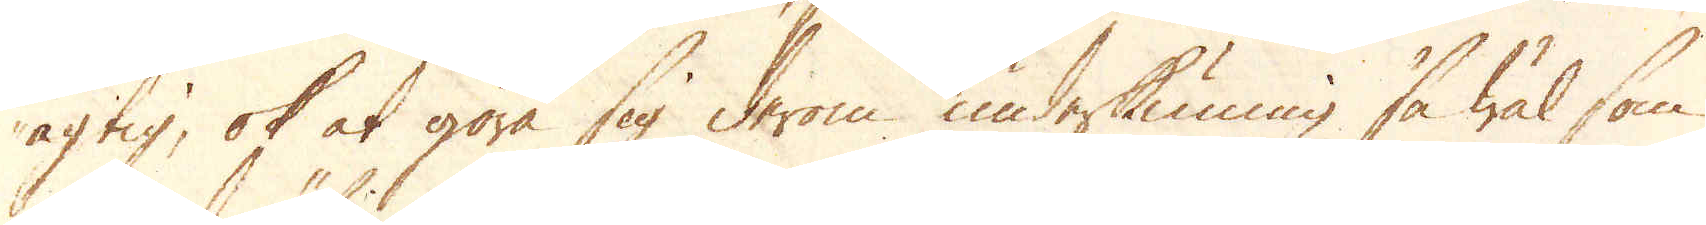agtig, ok at göra sig derom underkunning så wäl som
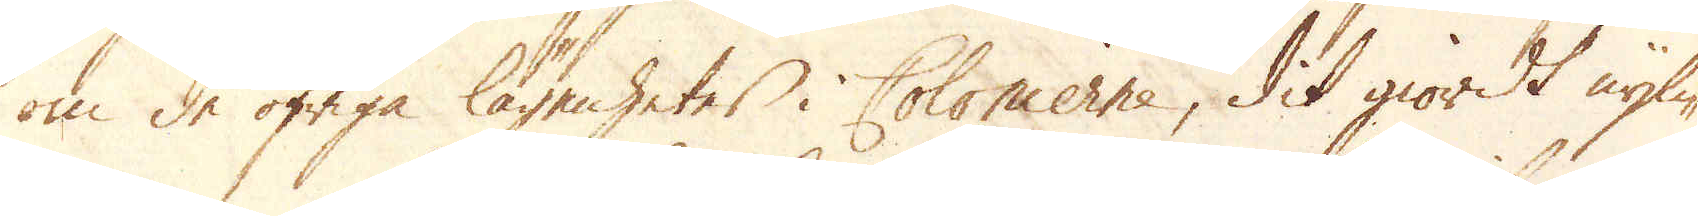om de öfriga lägenheter i Colonierne, dit giordt nyli-
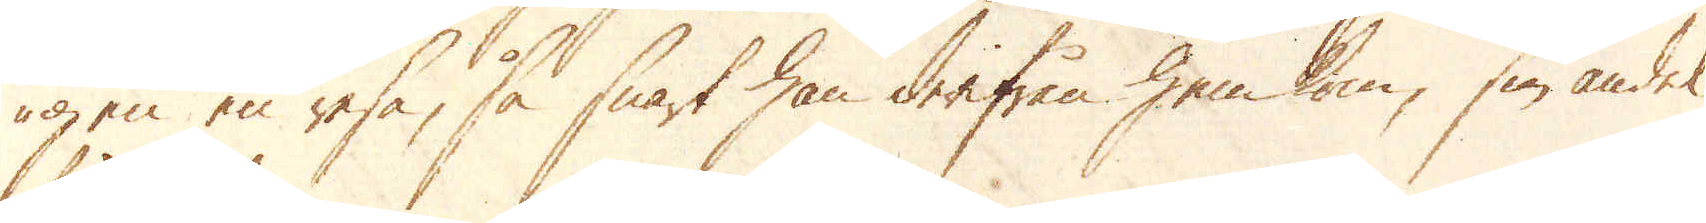gen en resa, så snart han derifrån hem kom, sin andel
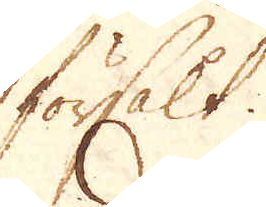försålt.
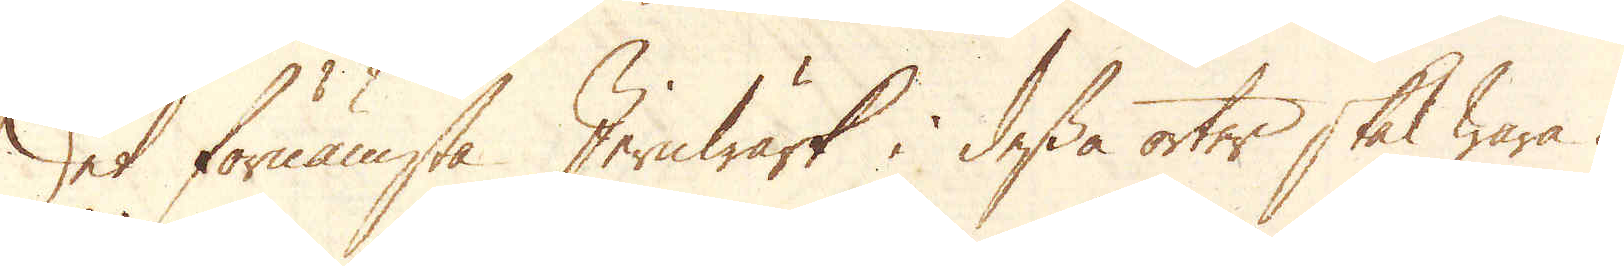Det förnämsta Jernwärk i dessa orter skal wara i
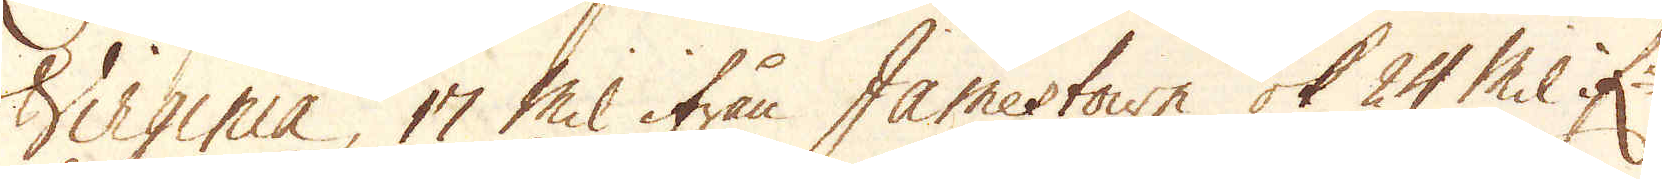Virginia, 17 mil ifrån Jamestown ok 24 Mil if:n
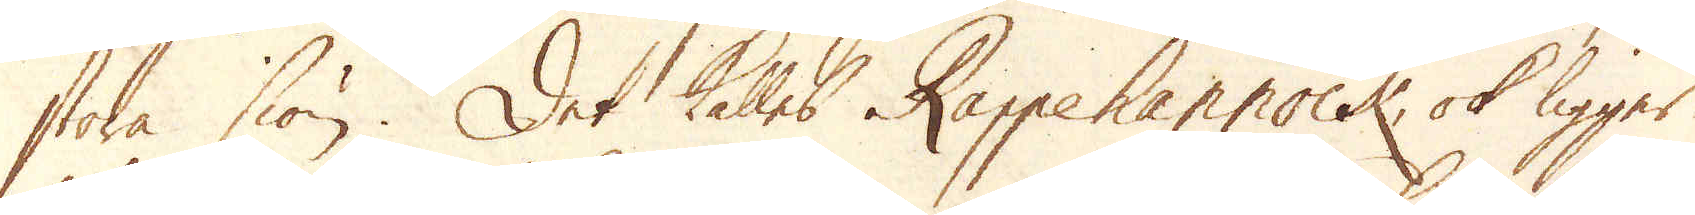stora siön. Det kallas Rappehannock, ok ligger
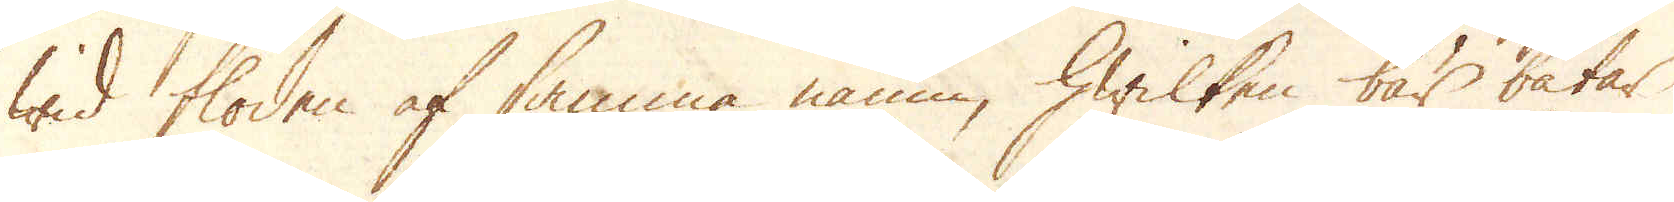wid floden af samma namn, hwilken bär båtar
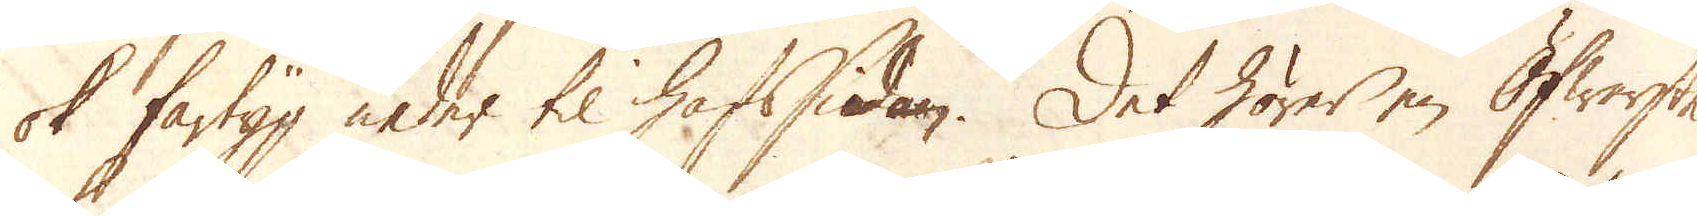ok fartyg neder til hafssidan. Det hörer en Öfwerste
